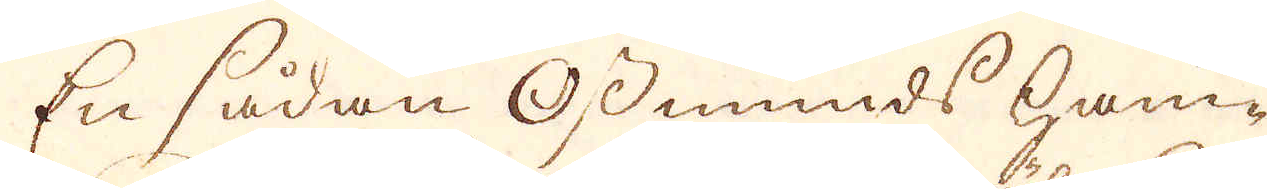En sådan Osmunds ham-
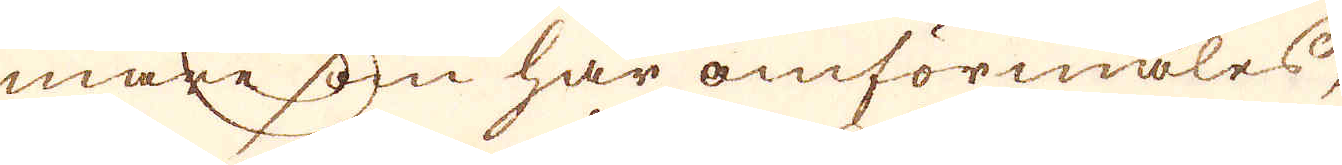mare som här omförmäles,
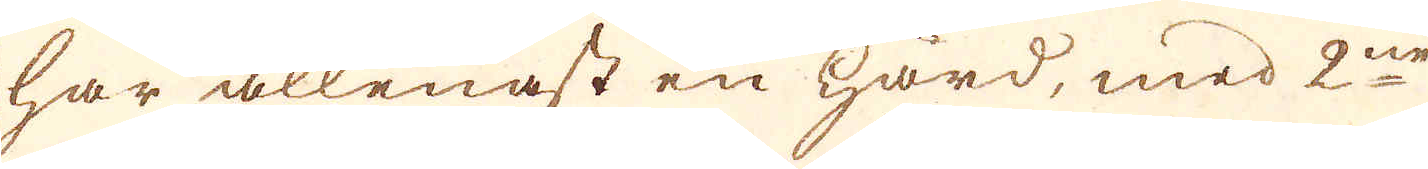har allenast en härd, med 2ne
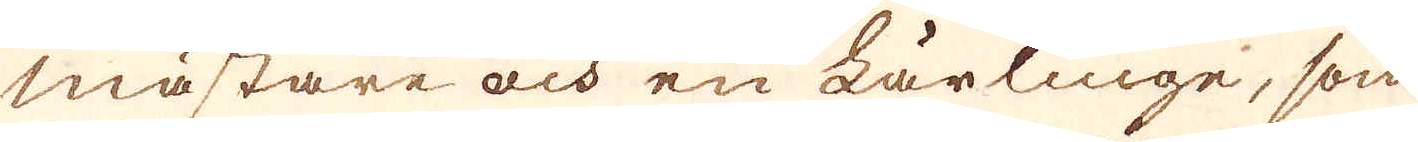mästare och en lärlinge, som
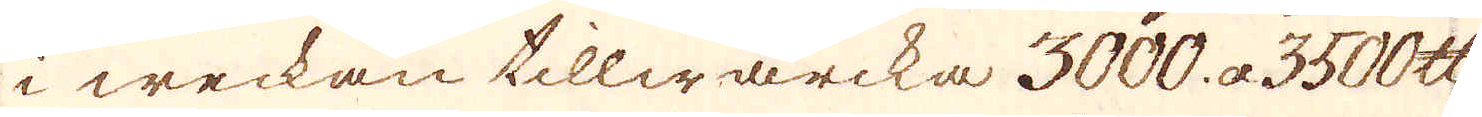i weckan tillwärcka 3000. a 3500. skålpund
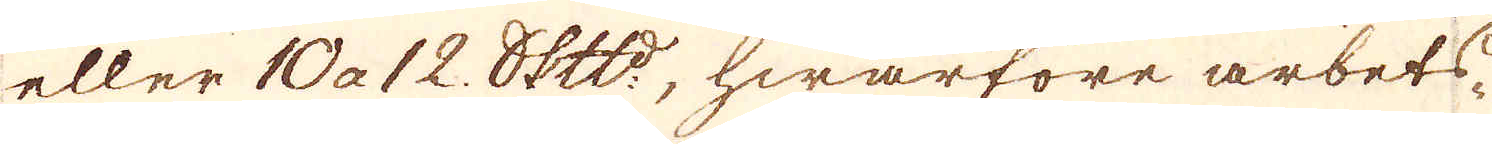eller 10 a 12. skeppund, hwarföre arbets-
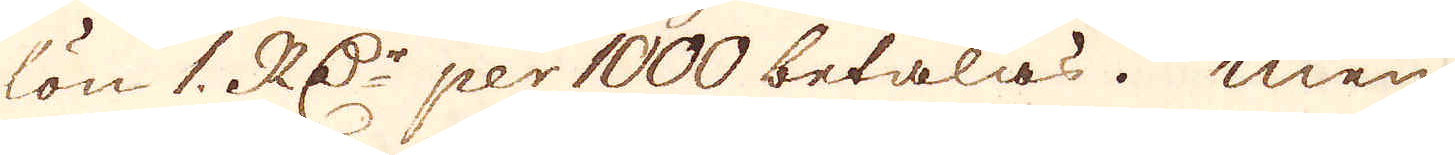lön 1. RD:r per 1000 betalas. men
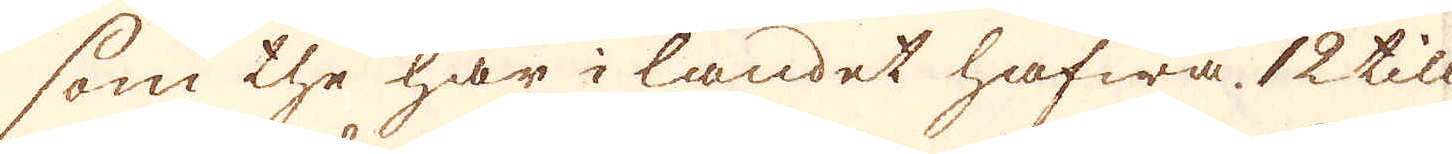som the här i landet hafwa 12 till
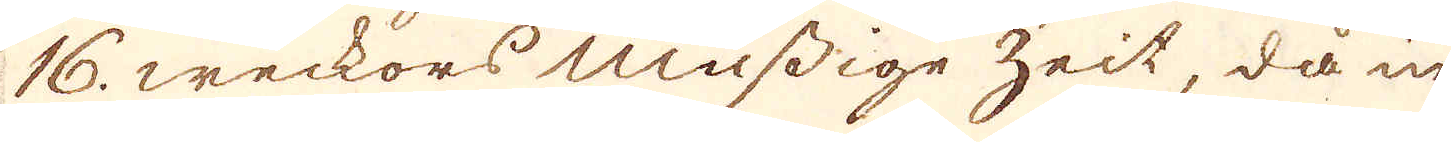16. weckors mussige zeit, då in-
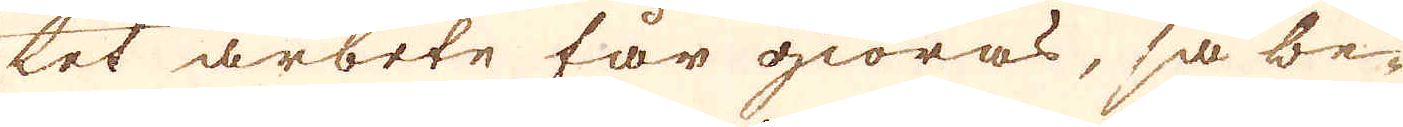tet arbete får giöras, så be-
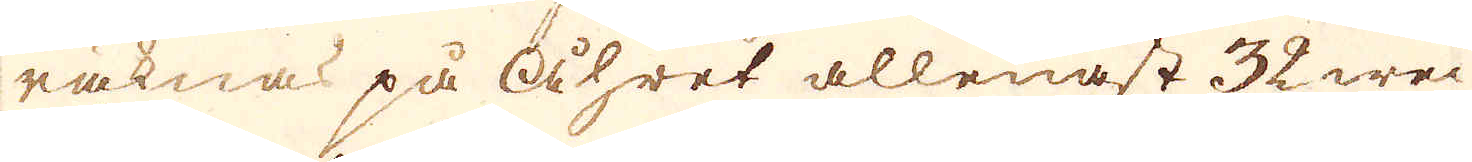räknas på åhret allenast 32 wec-
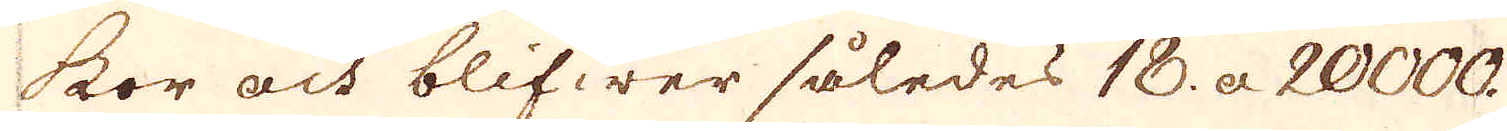kor och blifwer således 18. a 20000.
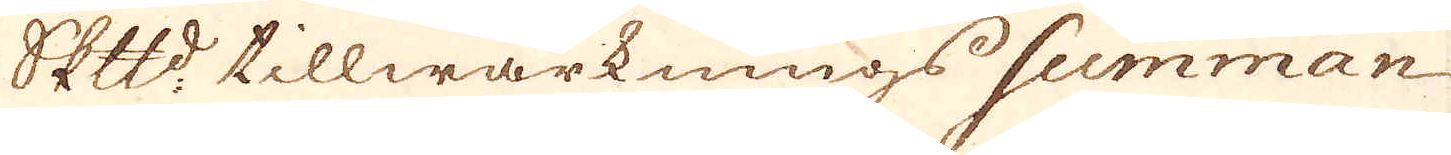Skeppund tillwärknings summan
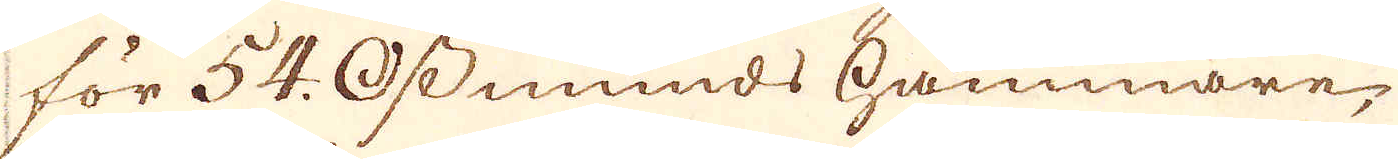för 54. Osmunds hammare,
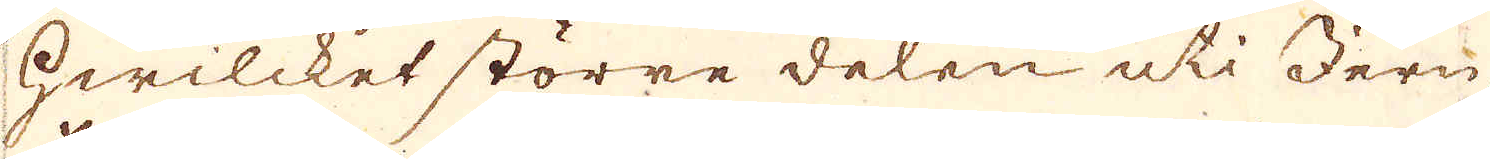hwilcket större delen uti Jern
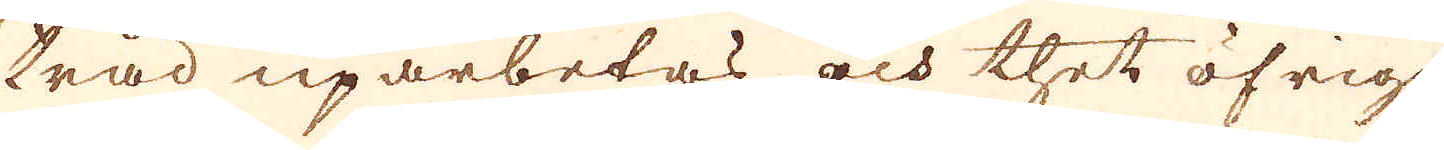tråd uparbetas och thet öfriga
